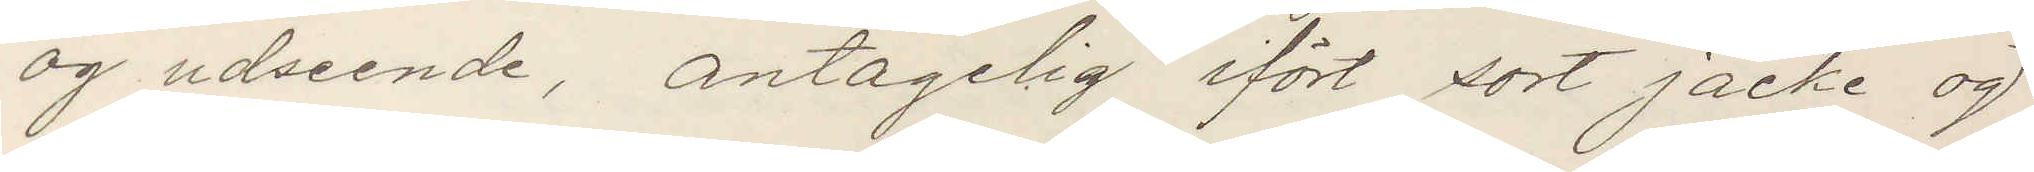og udseende, antagelig ifört sort jacke og
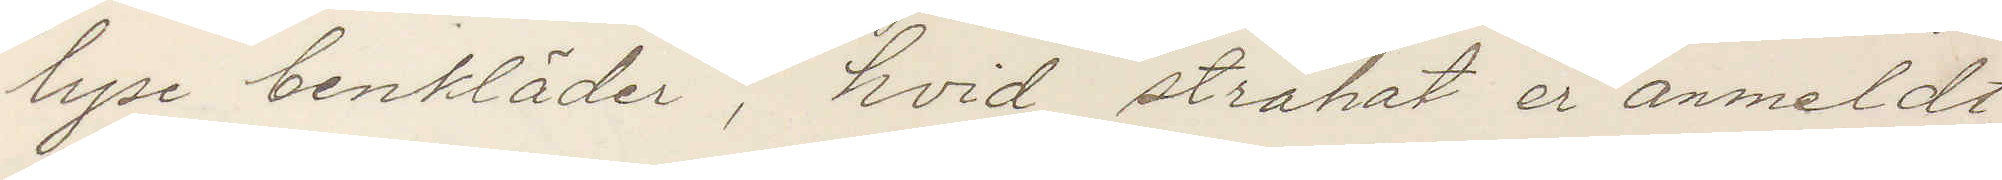lyse benkläder, hvid stråhat er anmeldt
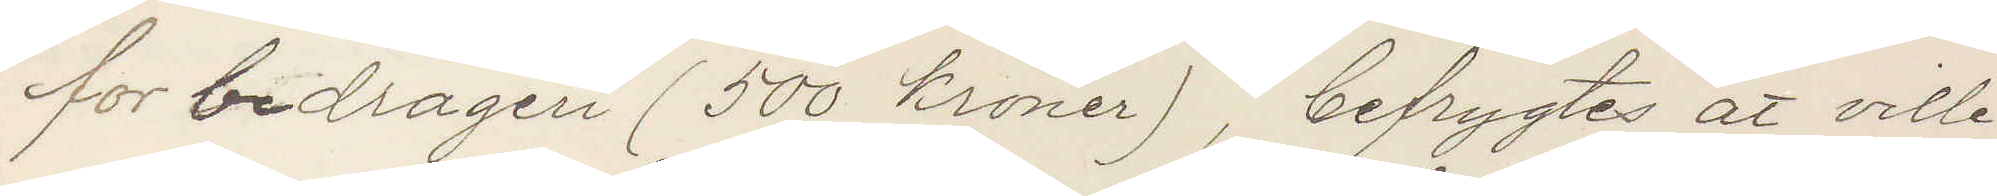for bedrageri (500 kronor), befrygtes at ville
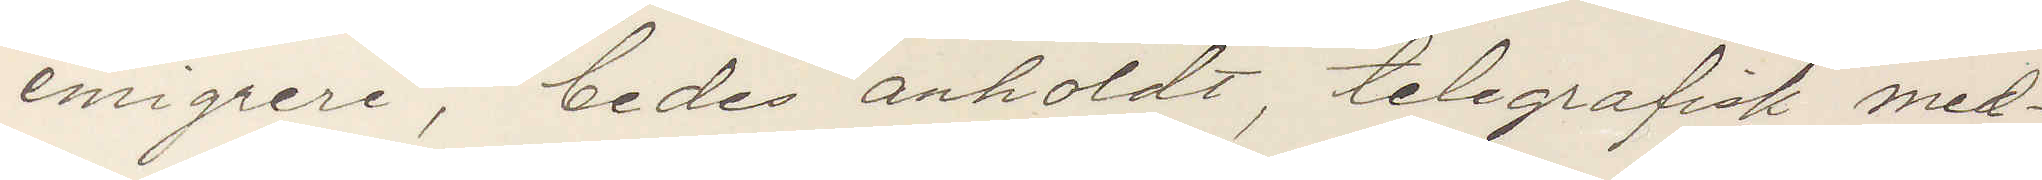emigrera, bedes anholdt, telegrafisk med¬
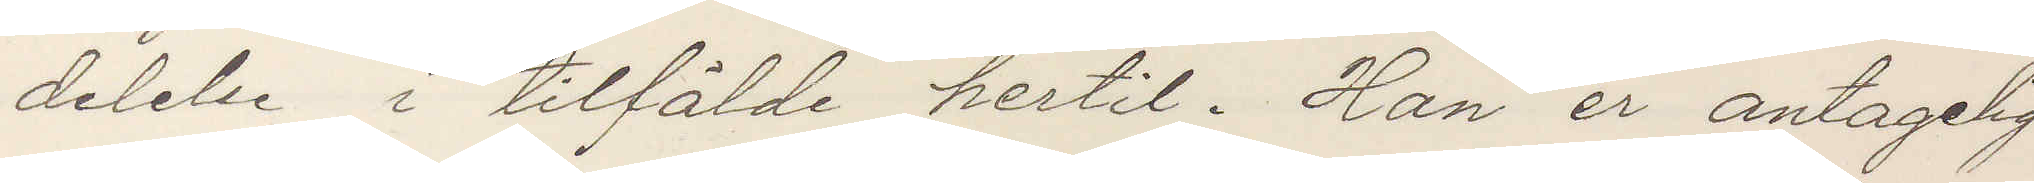delelse i tilfälde hertil. Han er antagelig
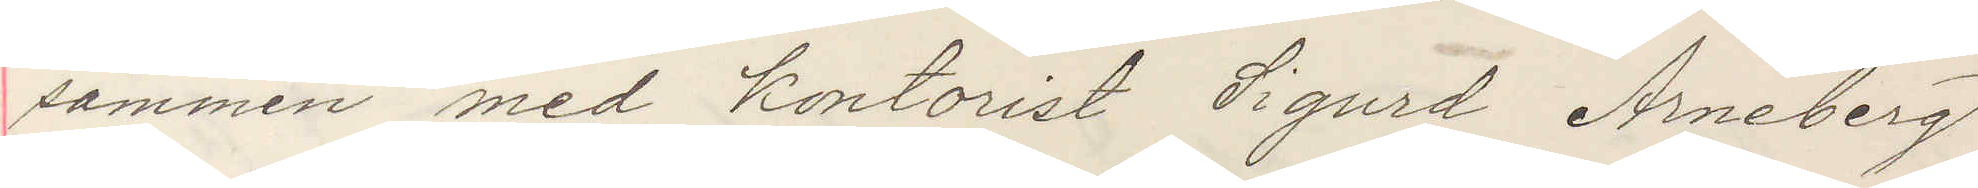sammen med kontorist Sigurd Arneberg
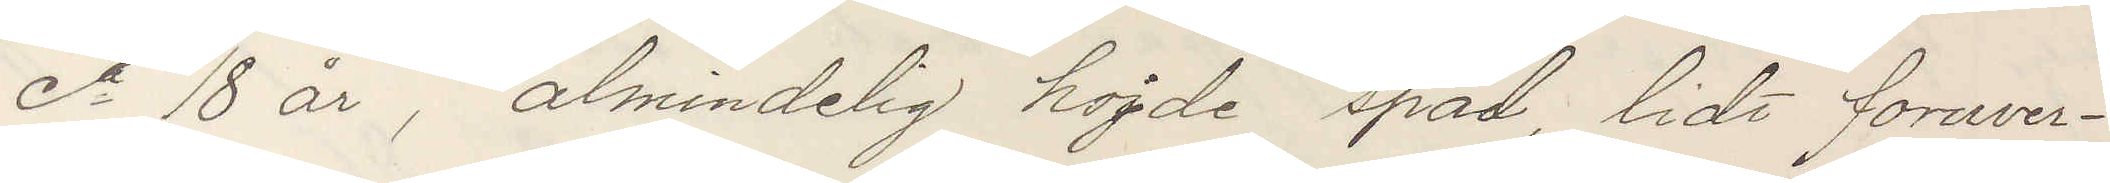ca 18 år, almindelig hojde späd, lidt foruver¬
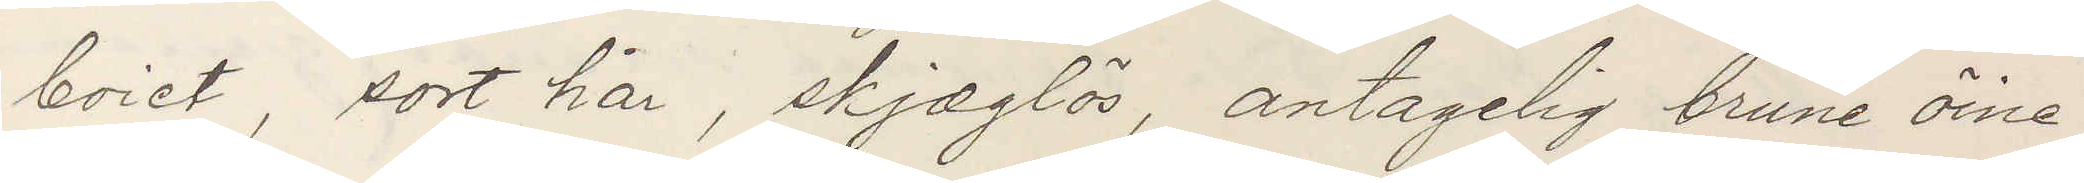boiet, sort hår, skjæglös, antagelig brune öine,
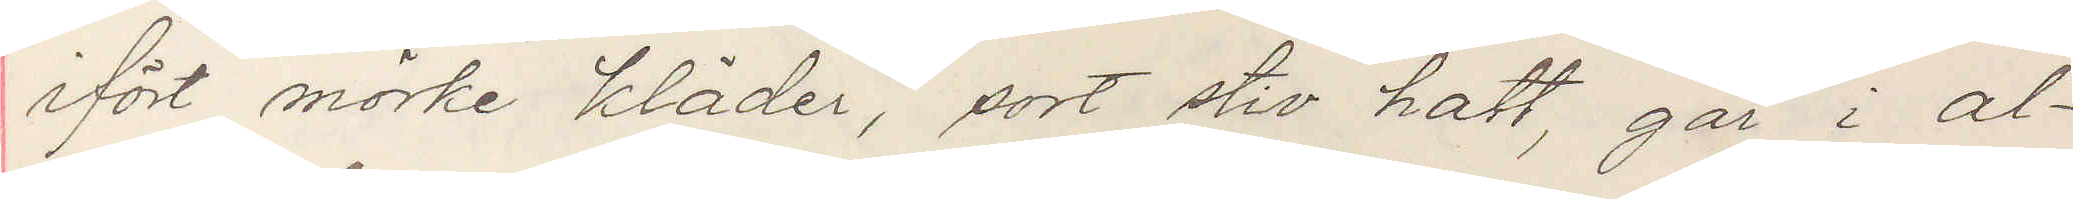ifört mörke kläder, sort stiv hatt, går i al¬
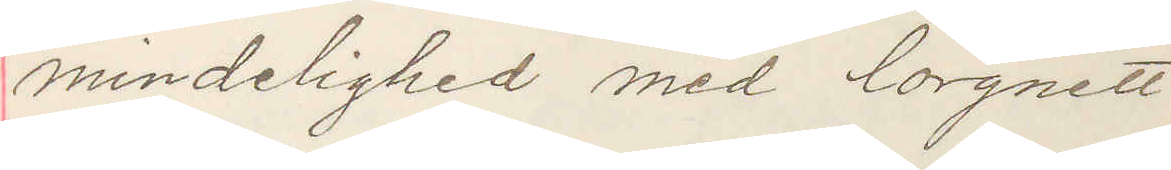mindelighed med lorgnett.
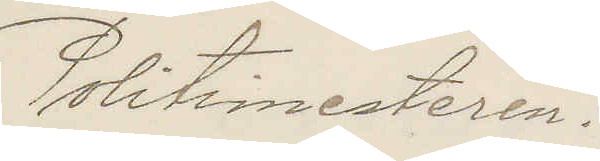Politimesteren.
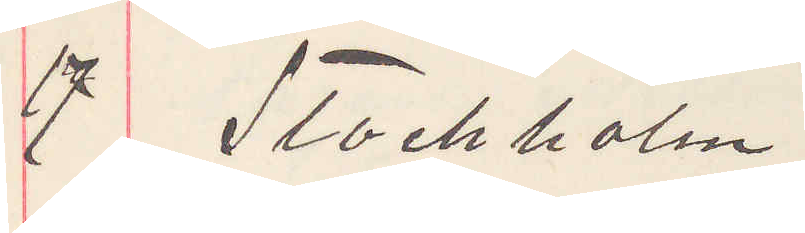17 Stockholm.
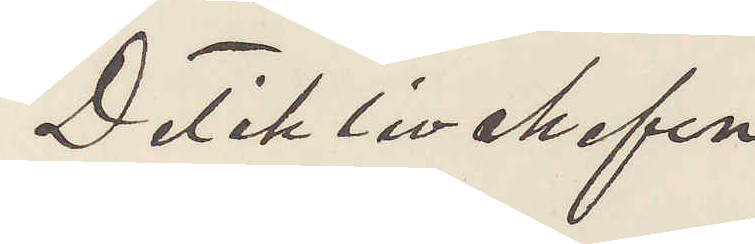Detiktivchefen
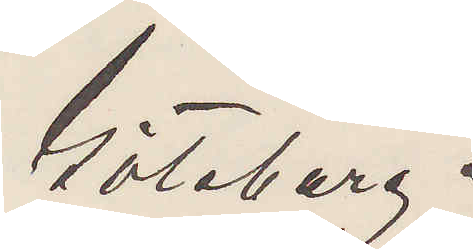Göteborg.
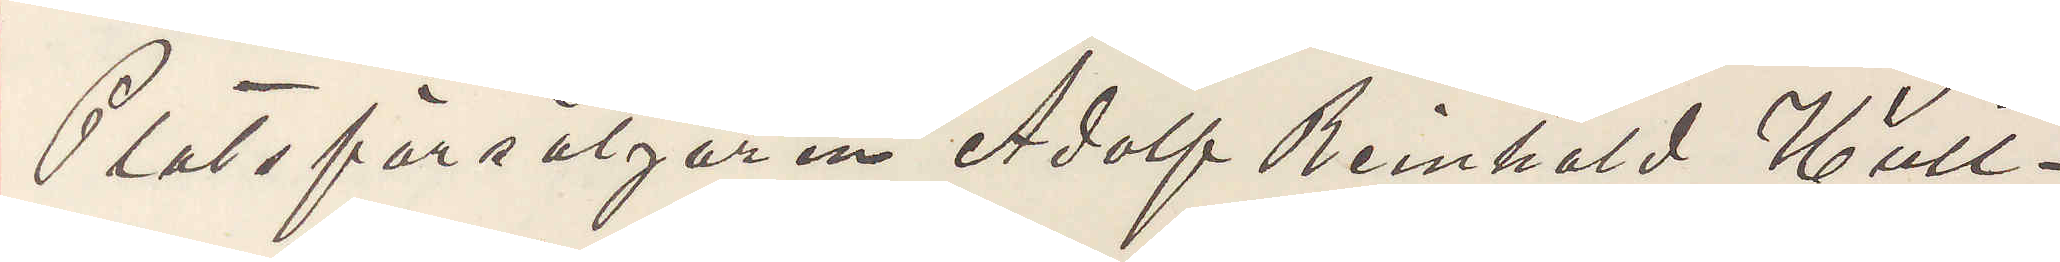Platsförsäljaren Adolf Reinhold Hult¬
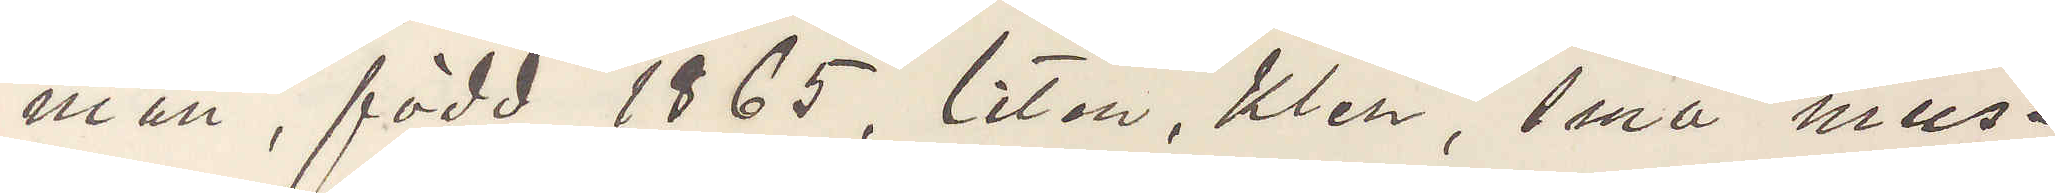man, född 1865, liten, klen, små mus¬
